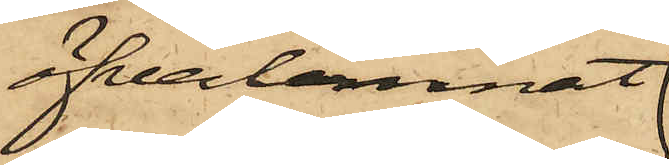öfverlemnat
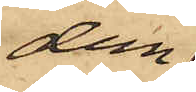dem
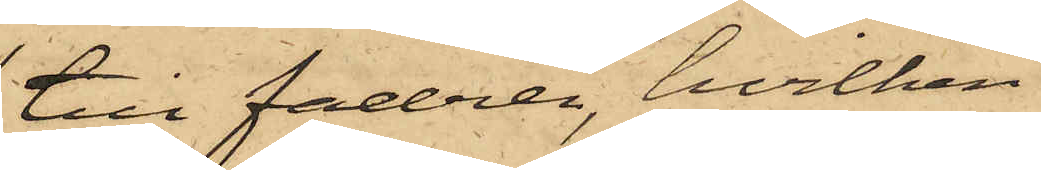till fadren, hvilken
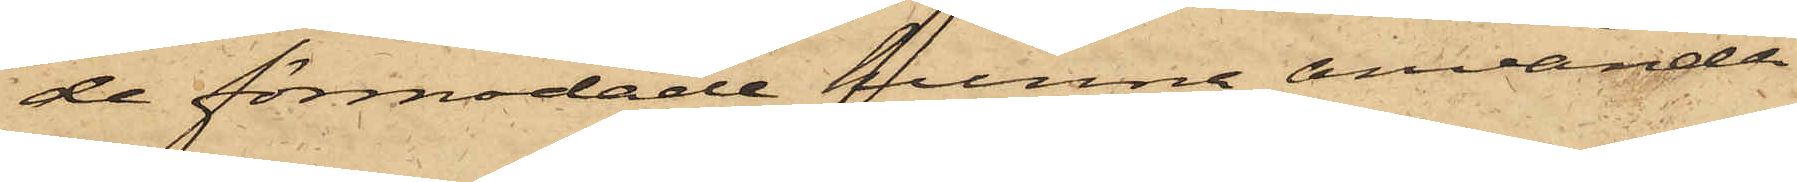de förmodade kunna använda
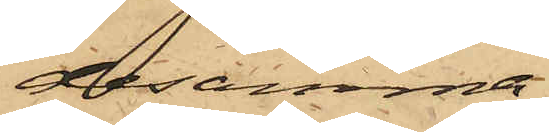desamma.
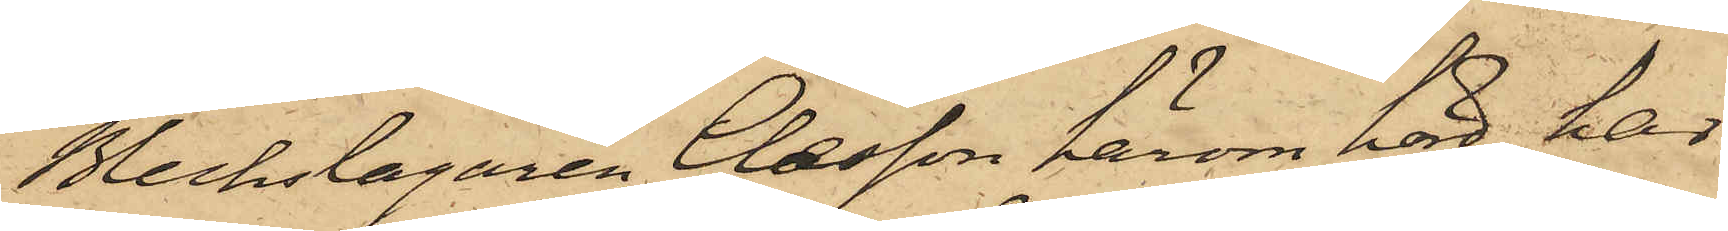Bleckslagaren Claesson härom hörd, har
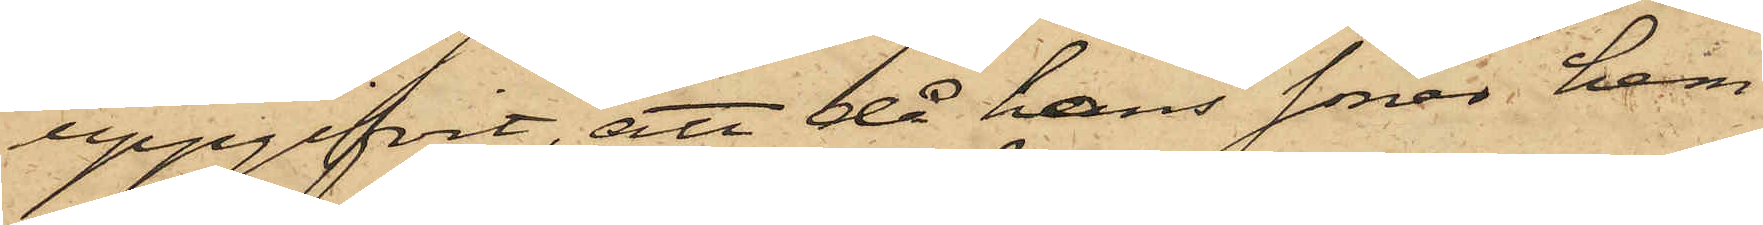uppgifvit, att då hans söner hem¬
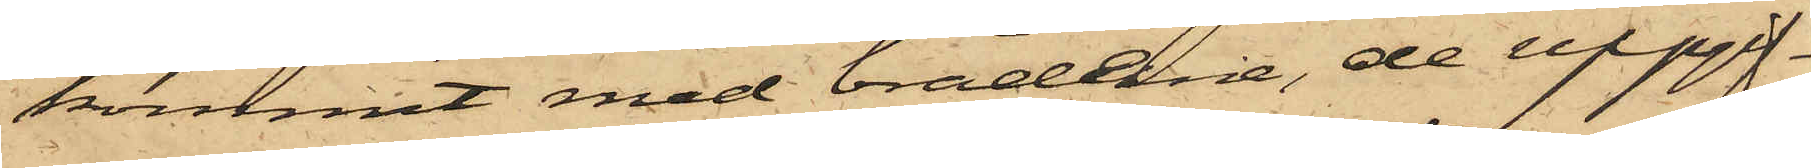kommit med bräderne, de uppgif¬
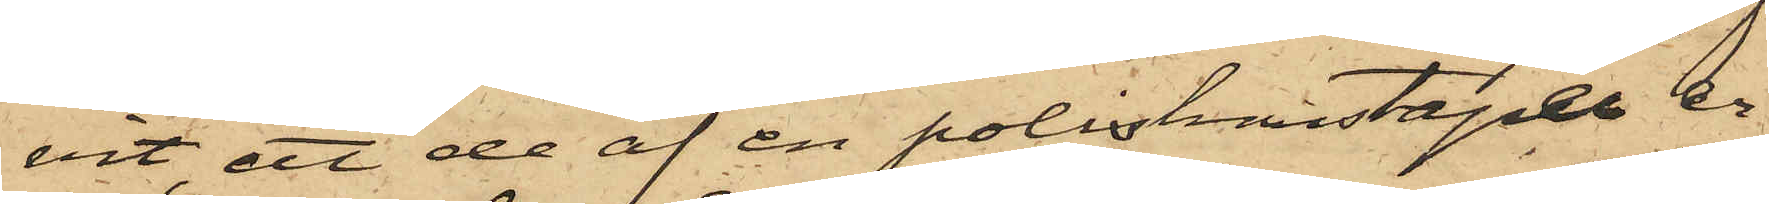vit, att de af en poliskonstapel er¬
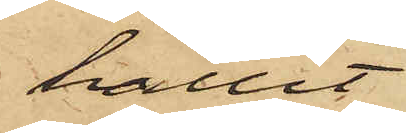hållit
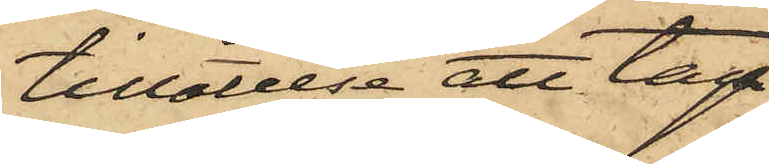tillåtelse att taga
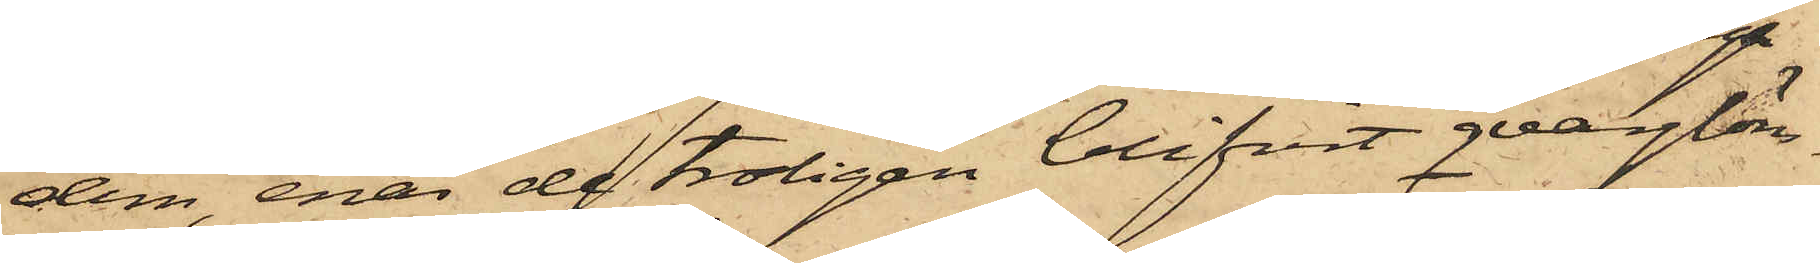dem, enär de troligen blifvit qvarglöm¬
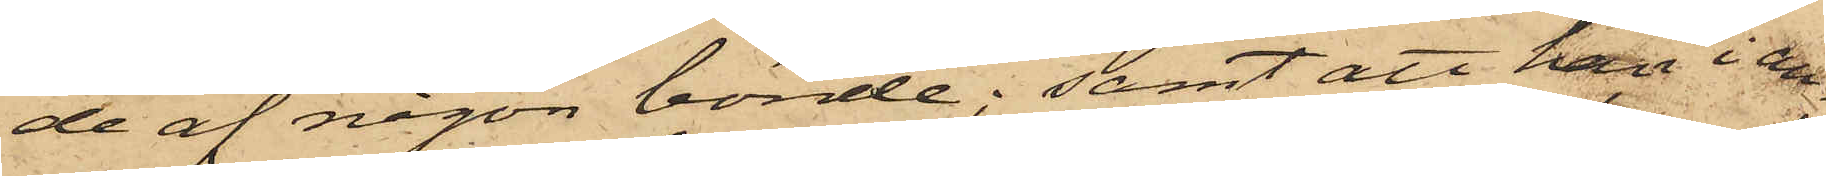de af någon bonde; samt att han i an¬
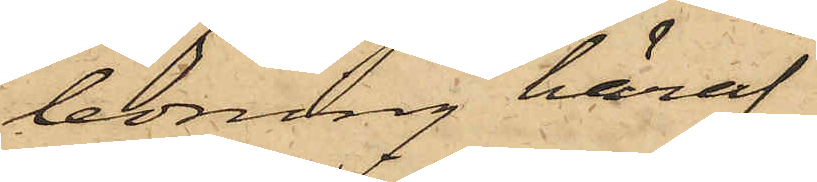ledning häraf
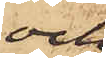och
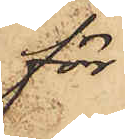för
